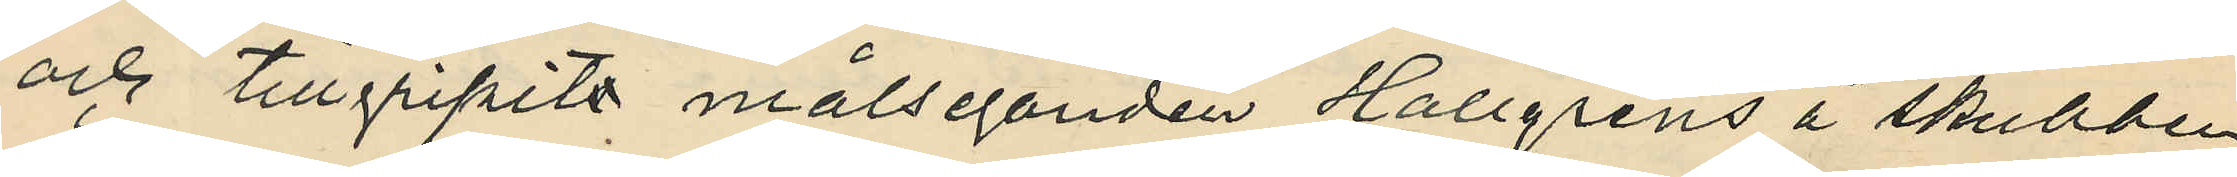och tillgripits målseganden Hallgrens å skrubben
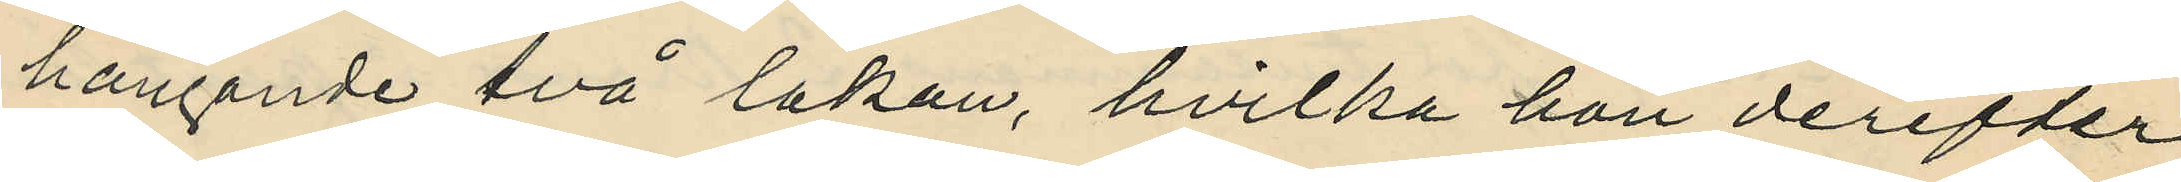hängande två lakan, hvilka hon derefter
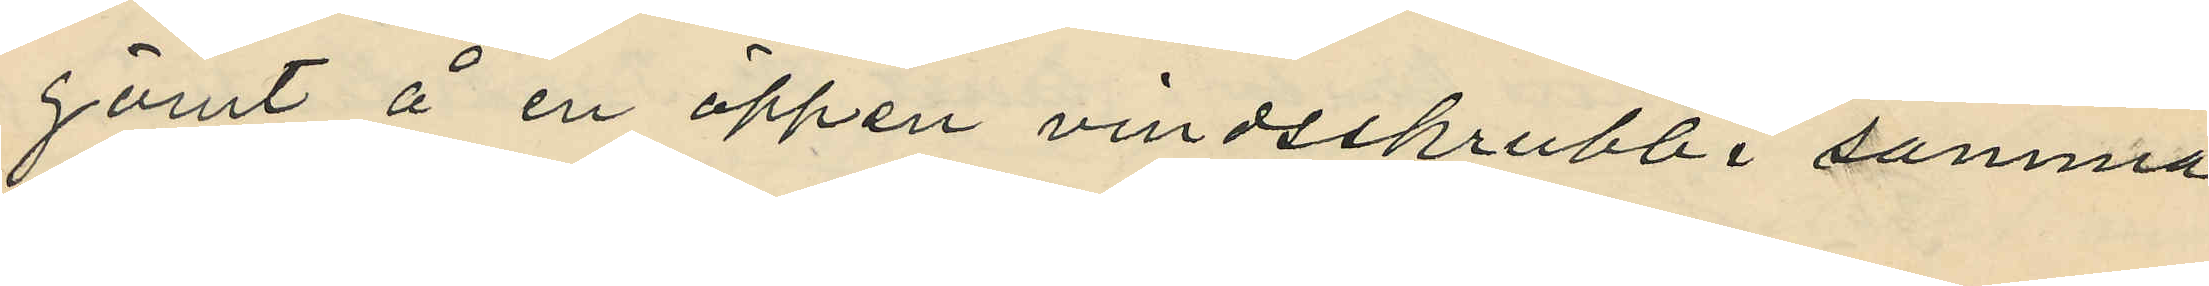gömt å en öppen vindsskrubb i samma
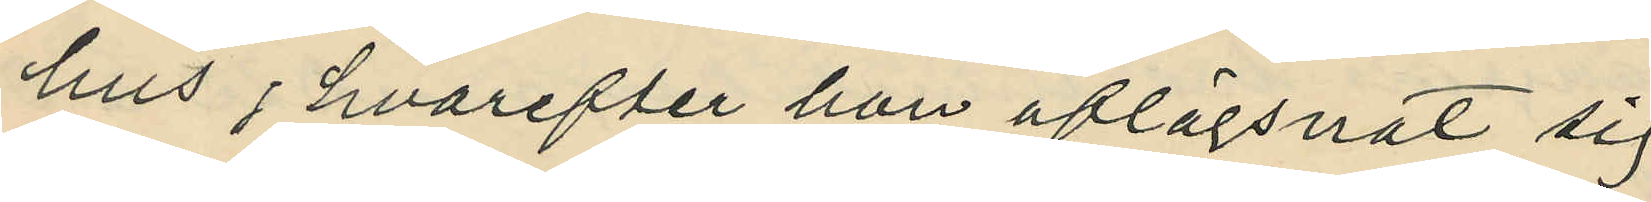hus, hvarefter hon aflägsnat sig
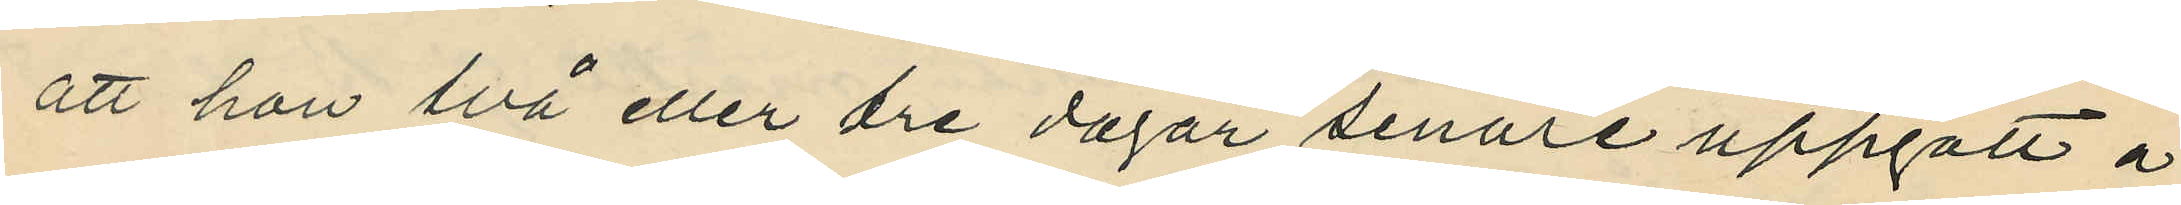att hon två eller tre dagar senare uppgått å
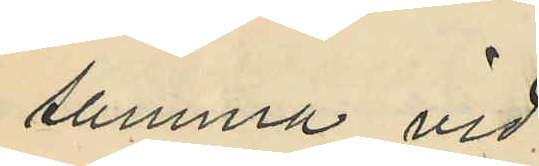samma vid;
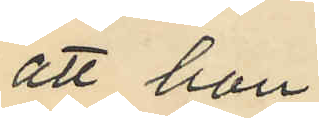att hon
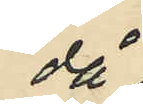då
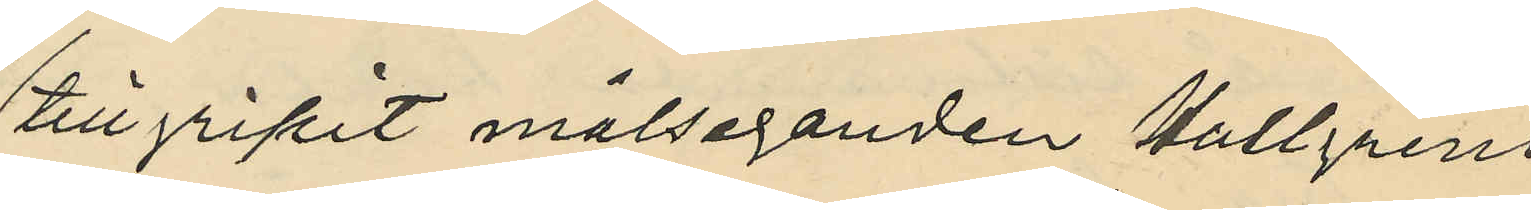tillgripit målseganden Hallgrens
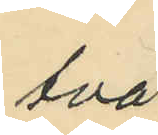två
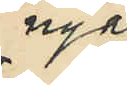nya
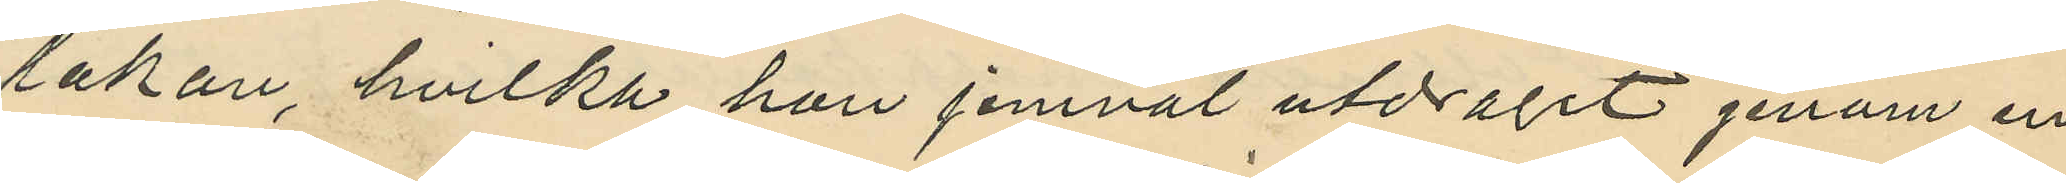lakan, hvilka hon jemväl utdragit genom en
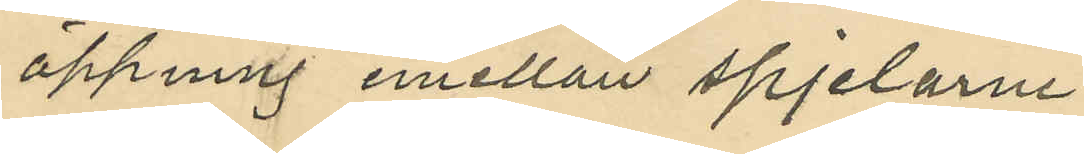öppning emellan spjelarne
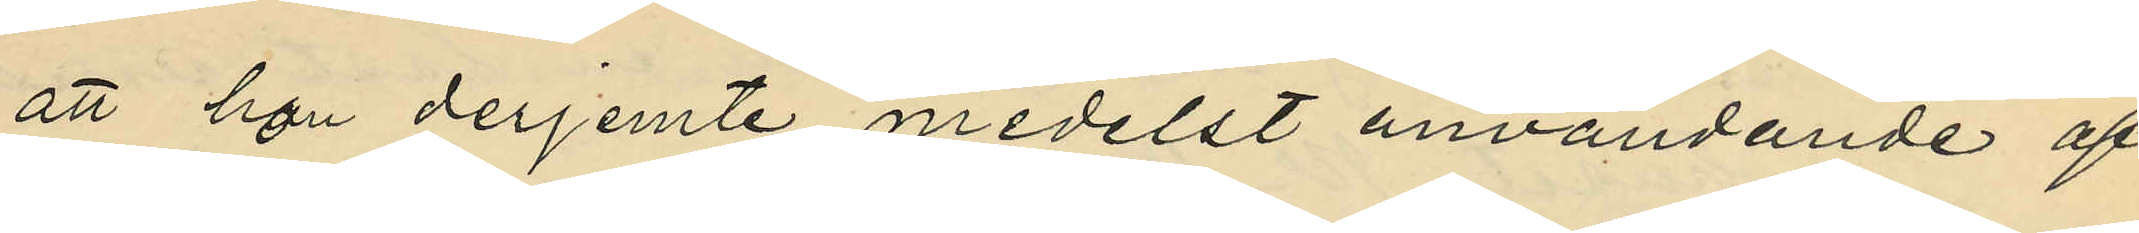att hon derjemte medelst användande af
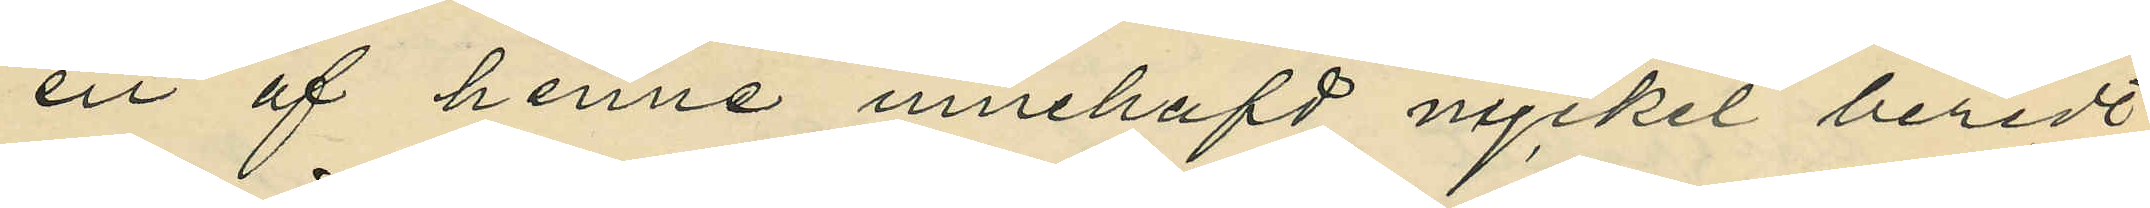en af henne innehafd nyckel beredt
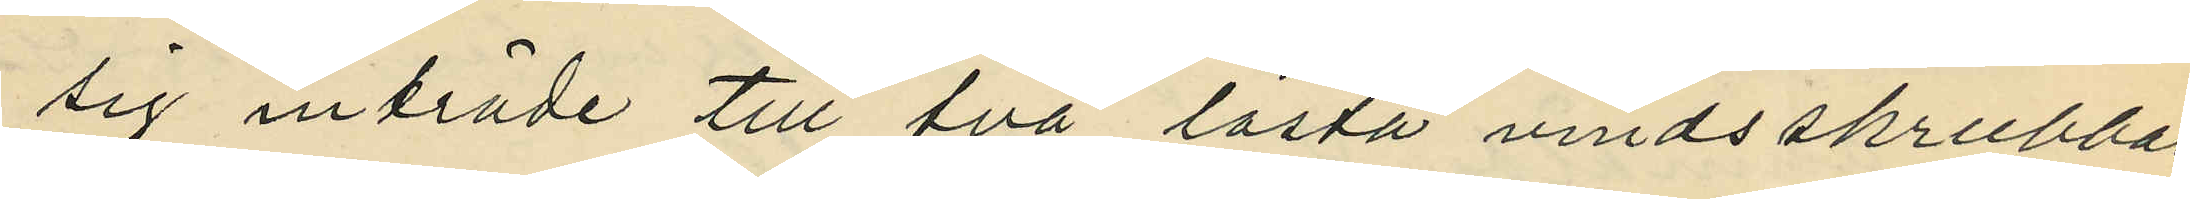sig inträde till två låsta vindsskrubbar,
